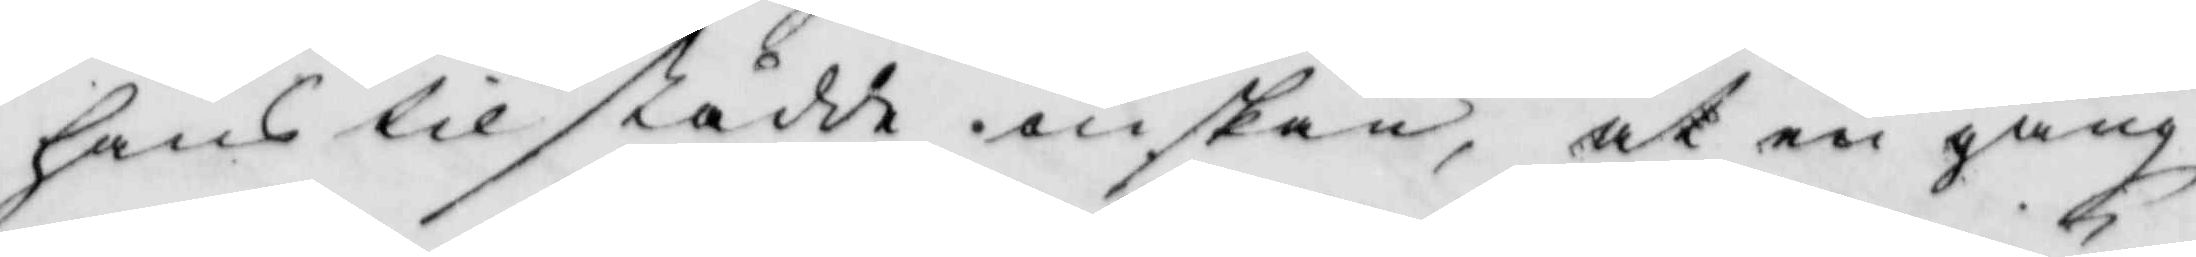hans tilstådde önskan, at en gång
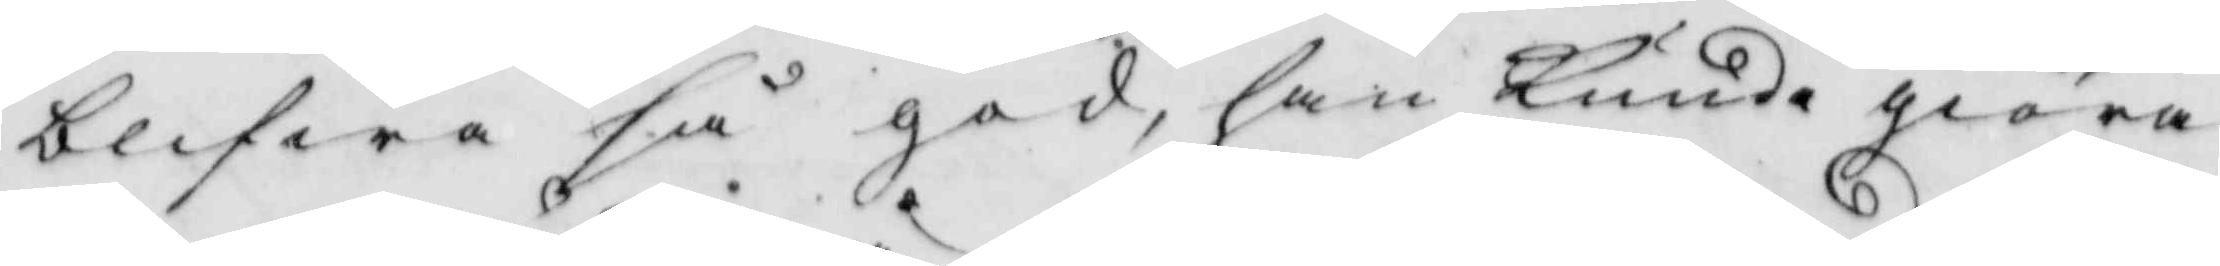blifwa så god, han kunde giöra
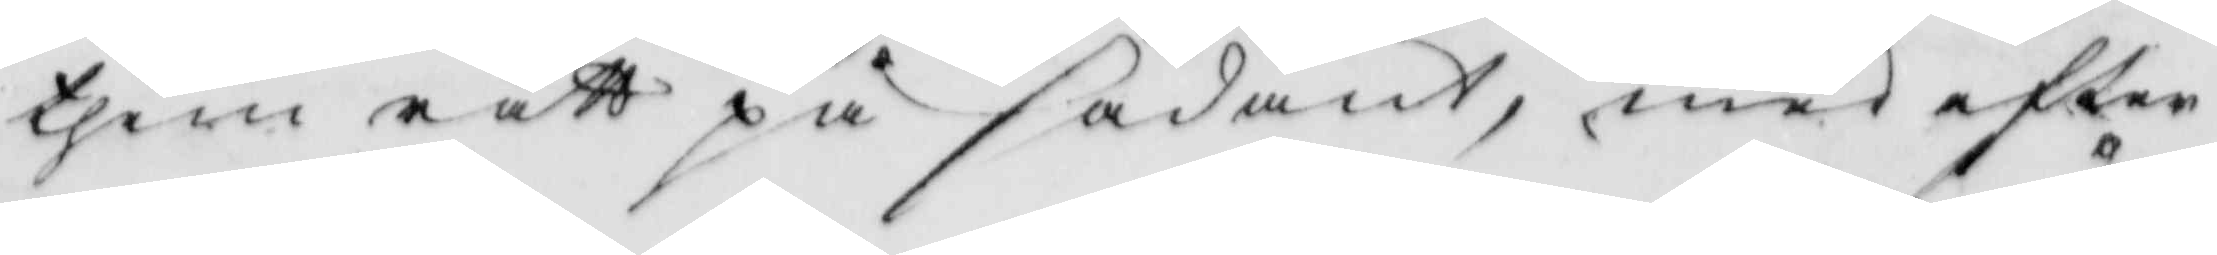them rätt på sådant, med efter
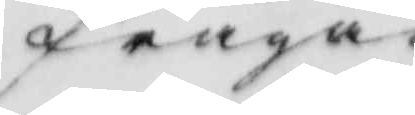fråga
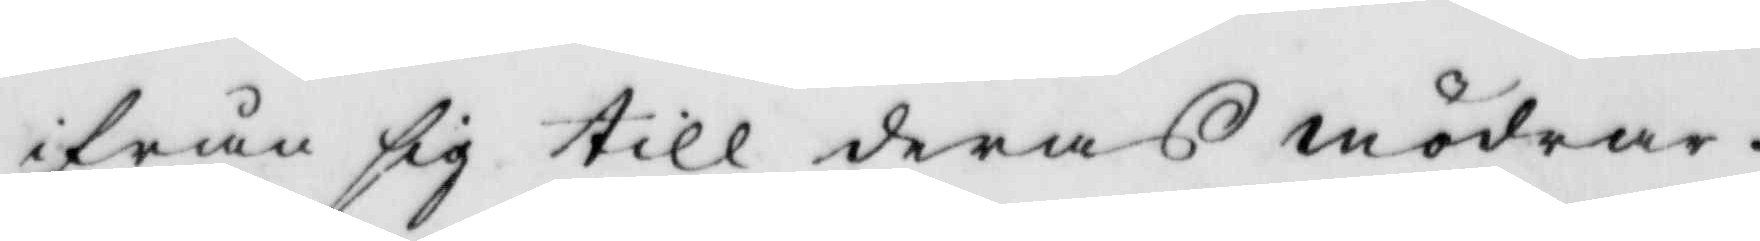ifrån sig till deras mödrar.
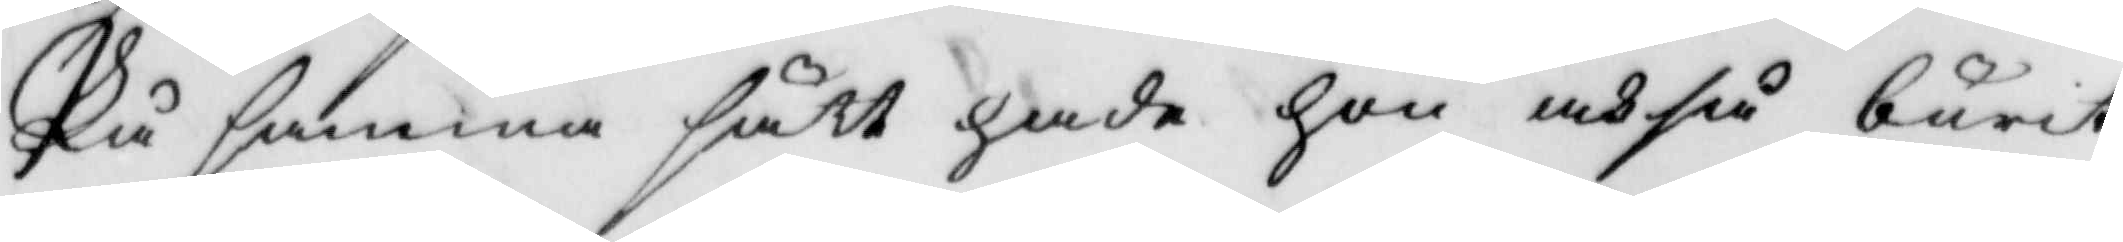På samma sätt hade hon ochså burit
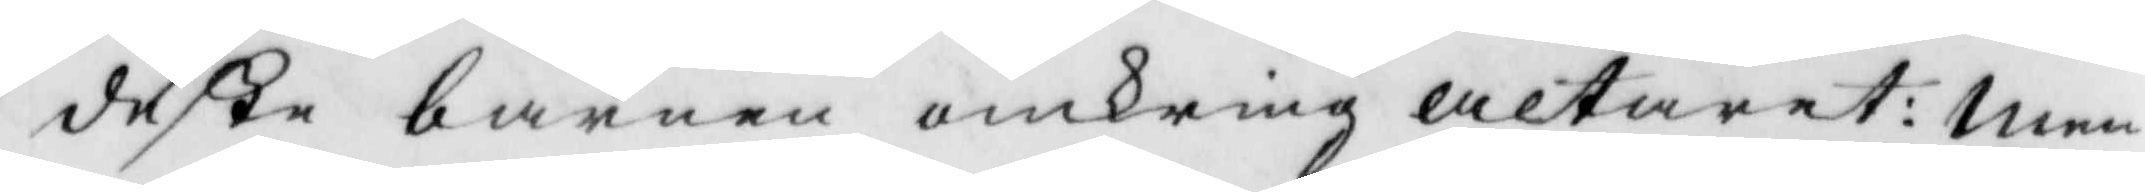deße barnen omkring altaret: men
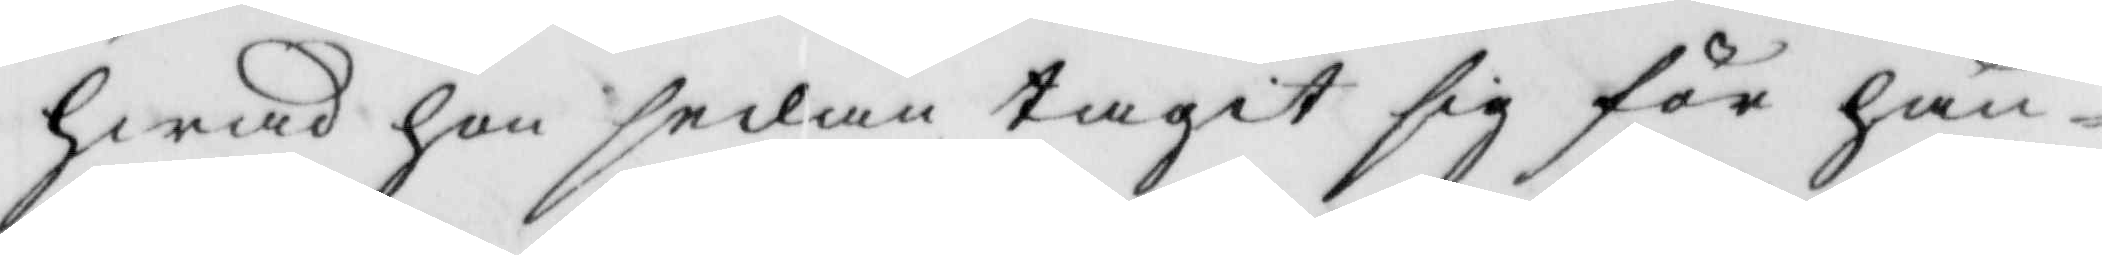hwad hon sedan tagit sig för hän¬
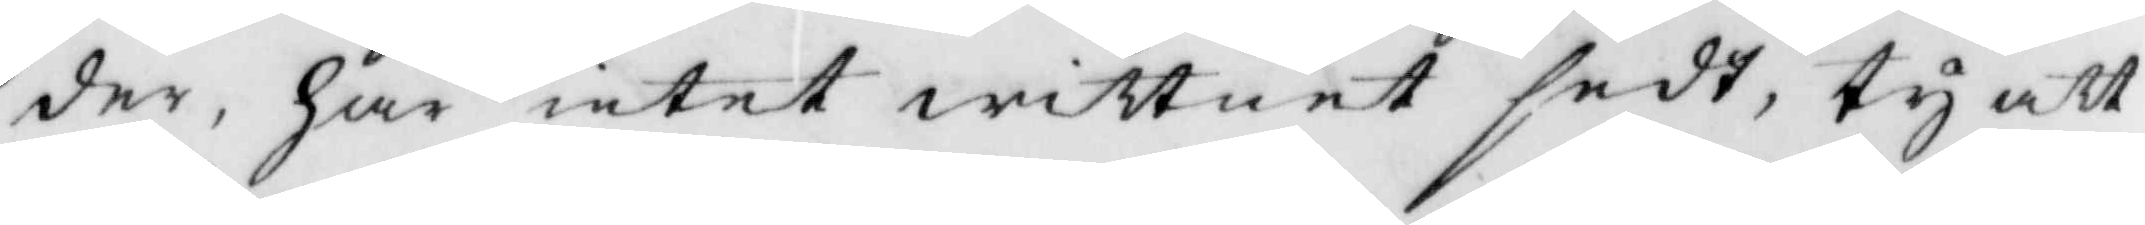der, har intet wittnet dedt, ty att
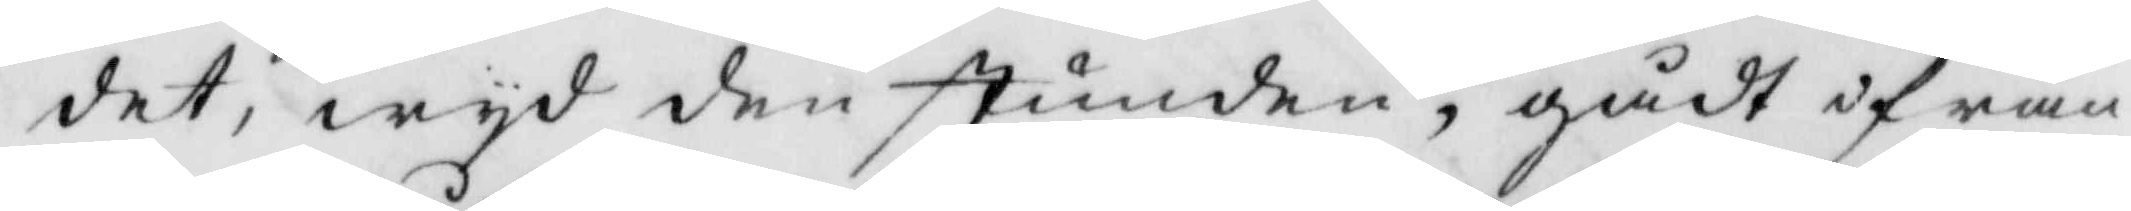det, wyd den stunden, gådt ifrån
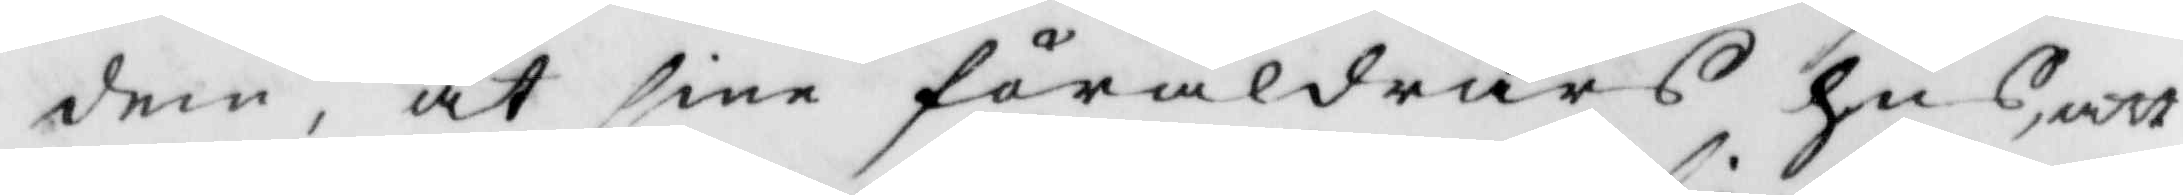dem, åt sine föräldrars hus, att
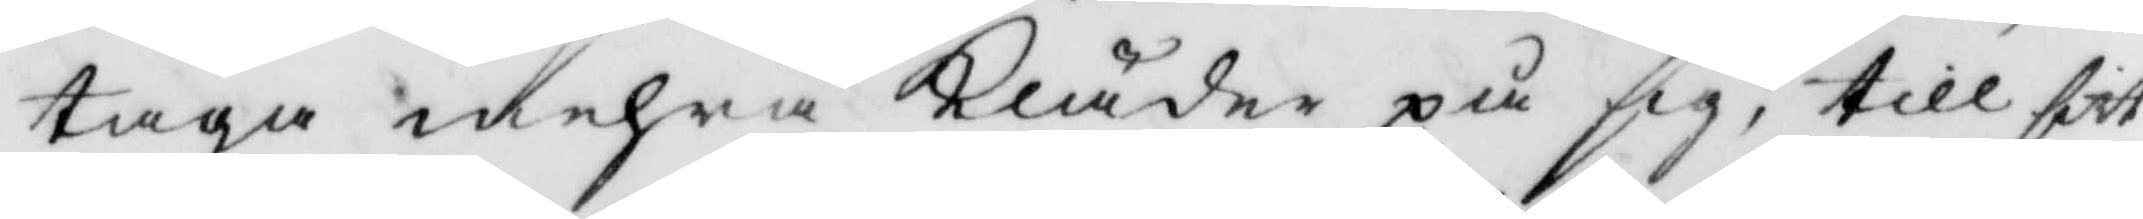taga mehra Kläder på sig, till sitt
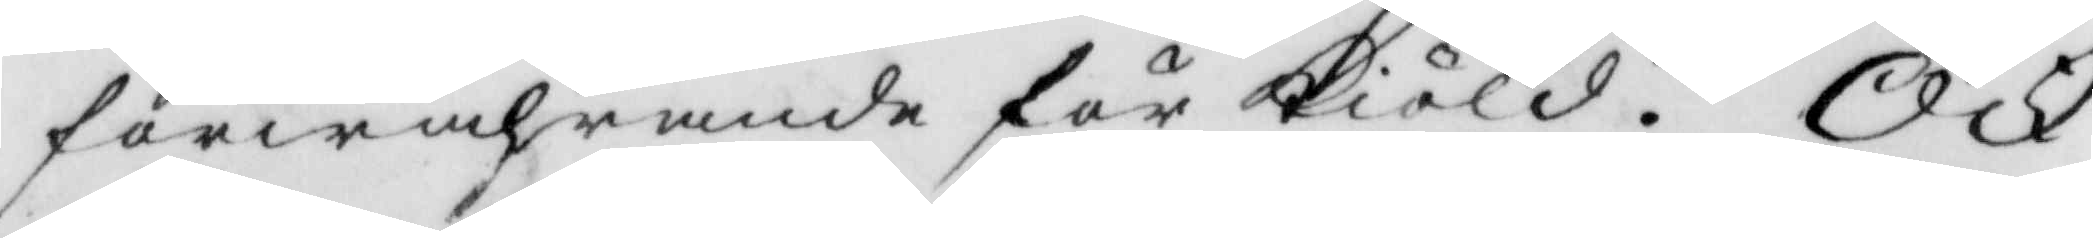förwahrande för Kiöld, Ock
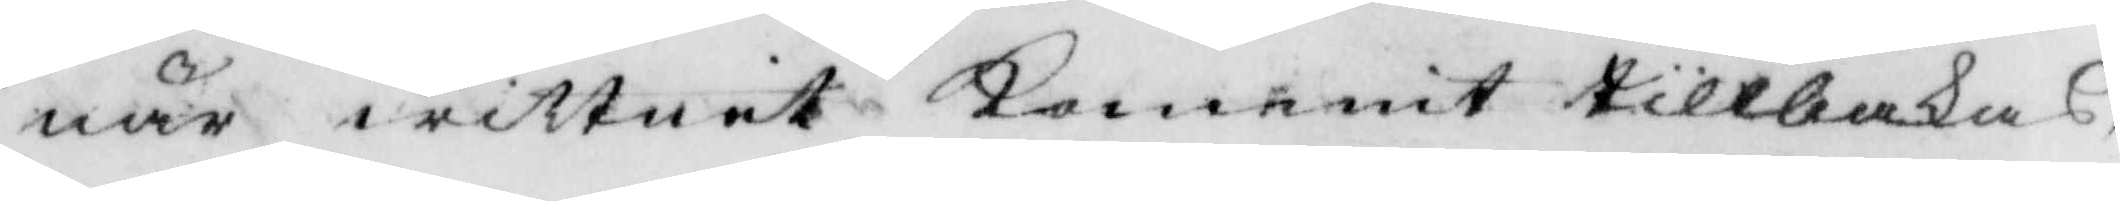när wittnit kommit tillbakas,
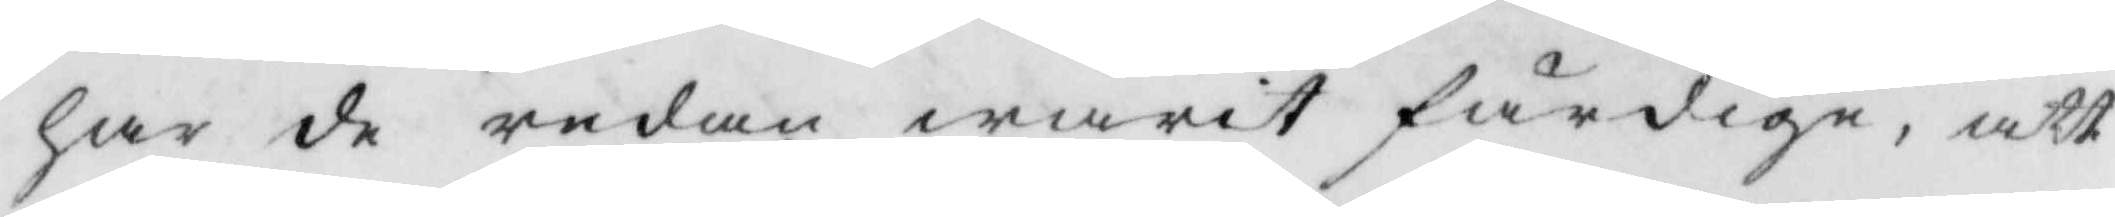har de redan warit fördige, att
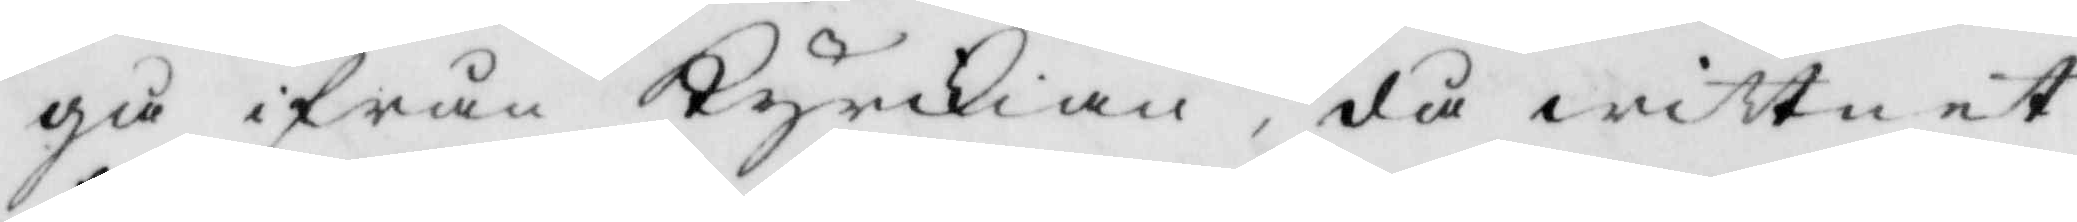gå ifrån Kyrkkian, då wittnet
